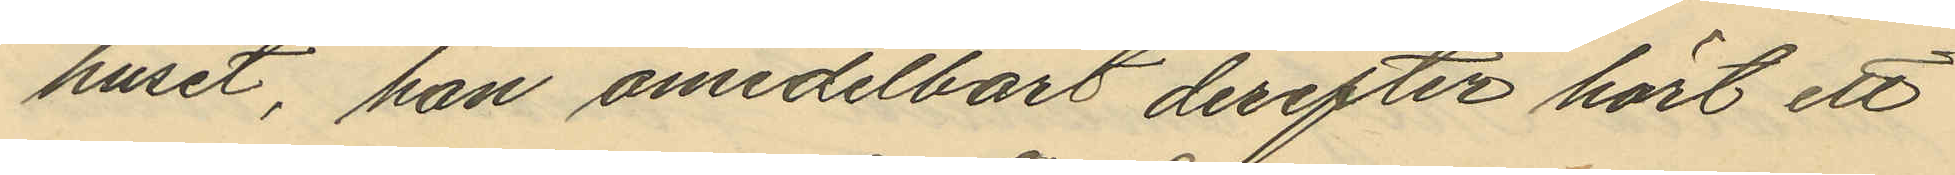huset, han omedelbart derefter hört ett
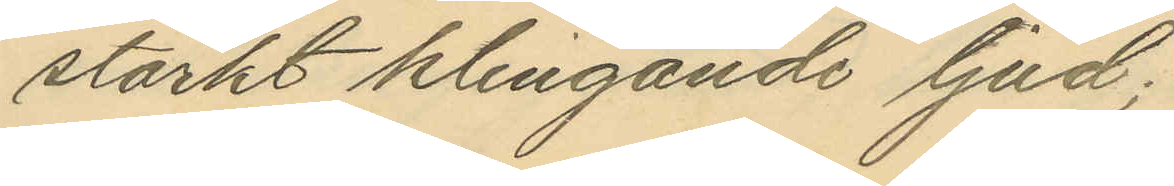starkt klingande ljud;
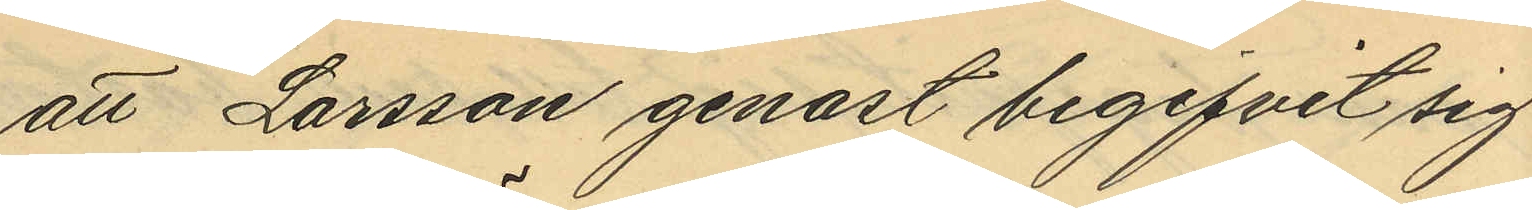att Larsson genast begifvit sig
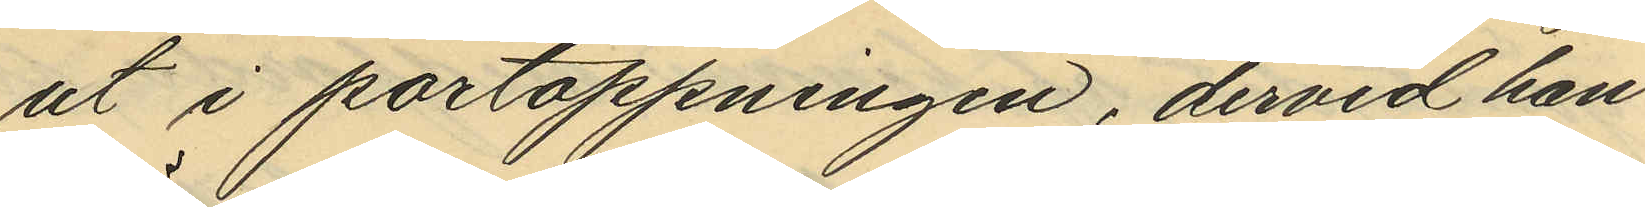ut i portöppningen, dervid han
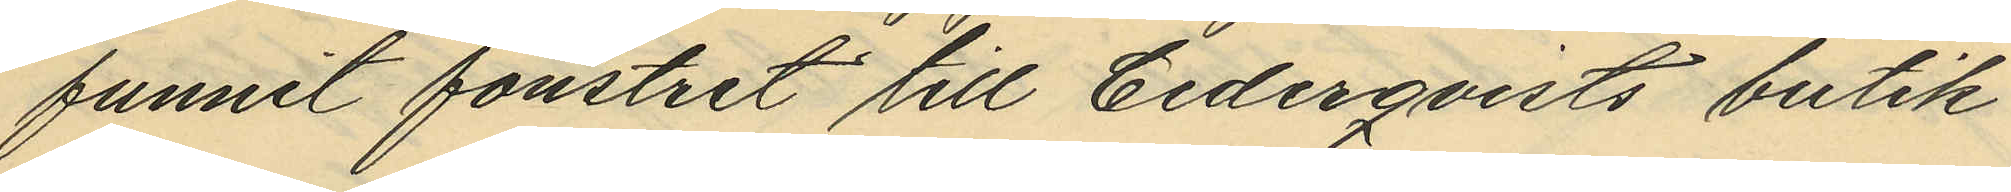funnit fönstret till Cederqvists butik
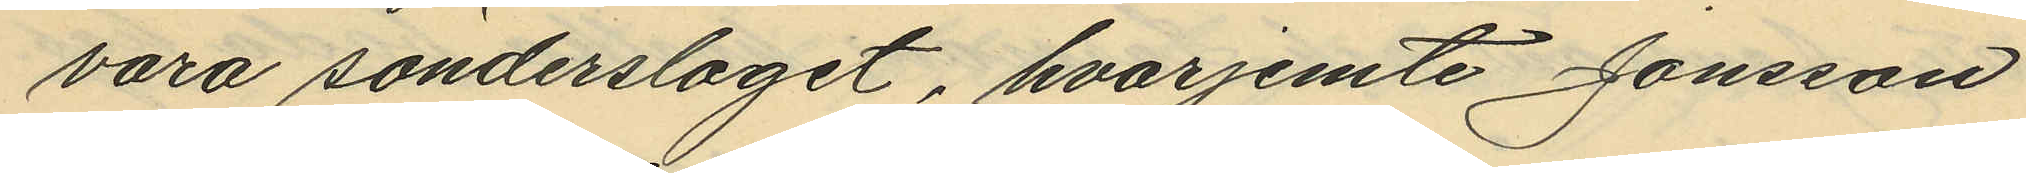vara sönderslaget, hvarjemte Jonsson
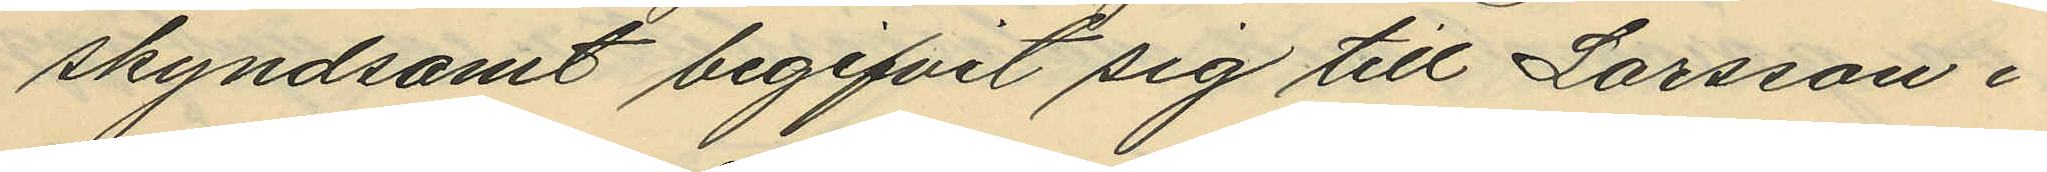skyndsamt begifvit sig till Larsson i
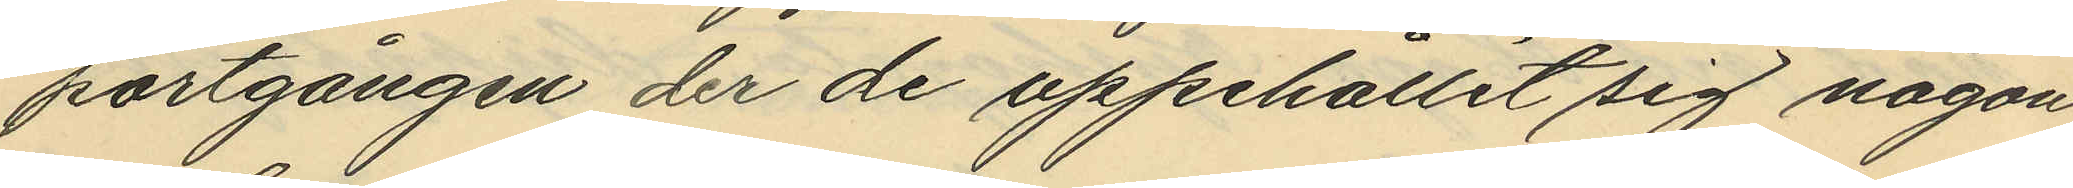portgången der de uppehållit sig någon
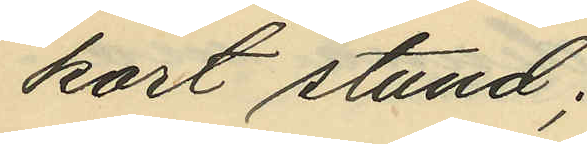kort stund;
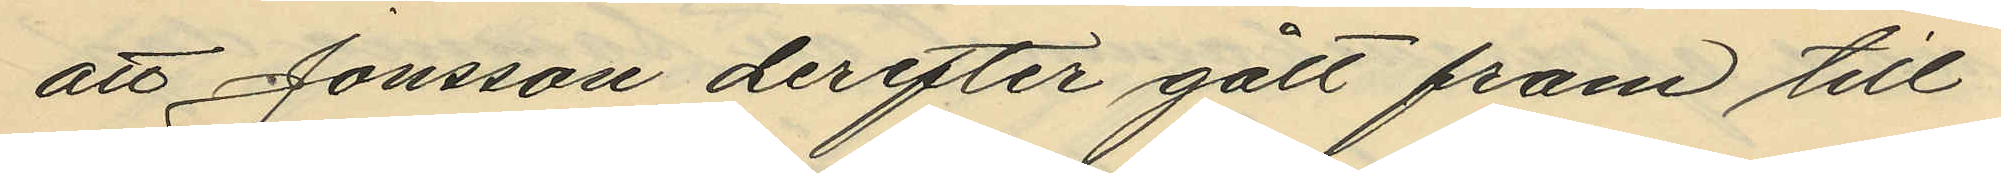att Jonsson derefter gått fram till
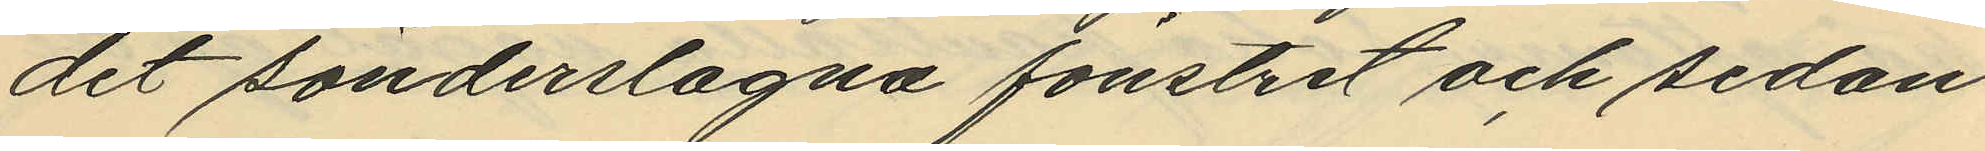det sönderslagna fönstret och sedan
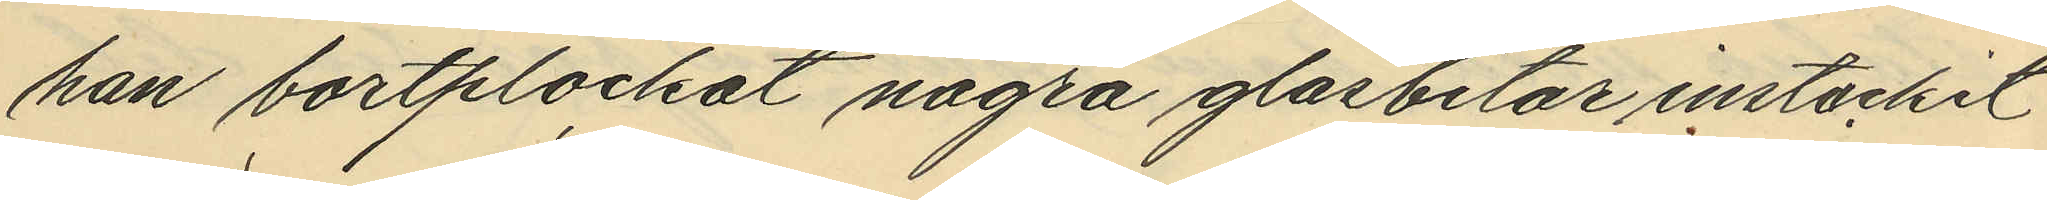han bortplockat några glasbitar instuckit
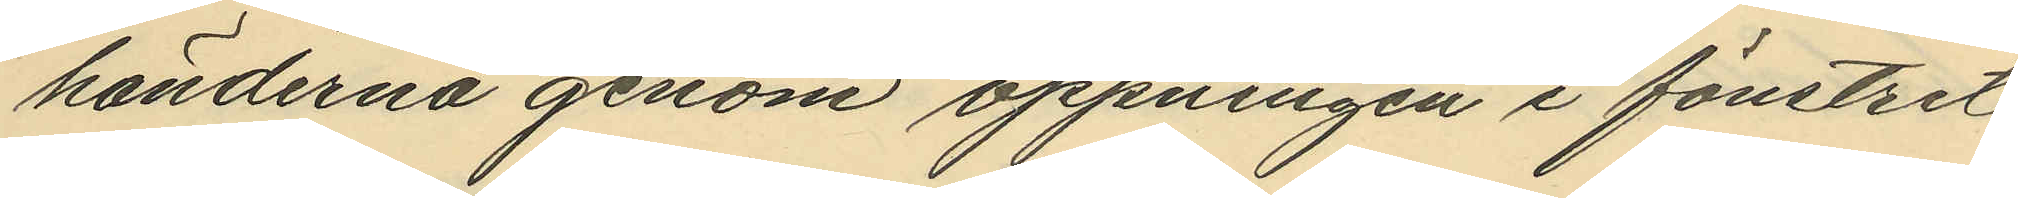händerna genom öppningen i fönstret
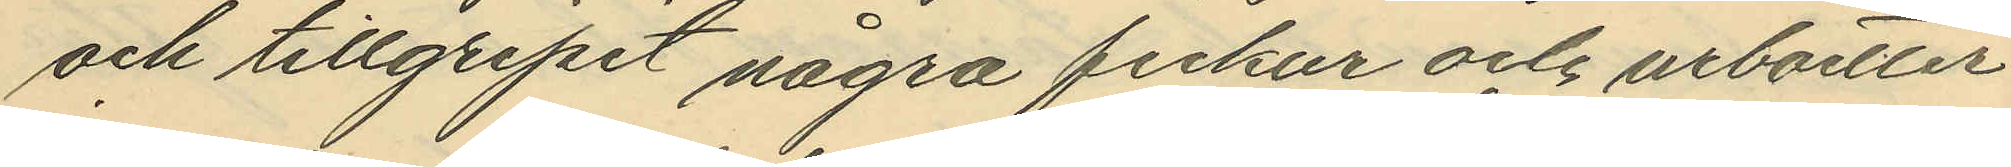och tillgripit några fickur och urboetter
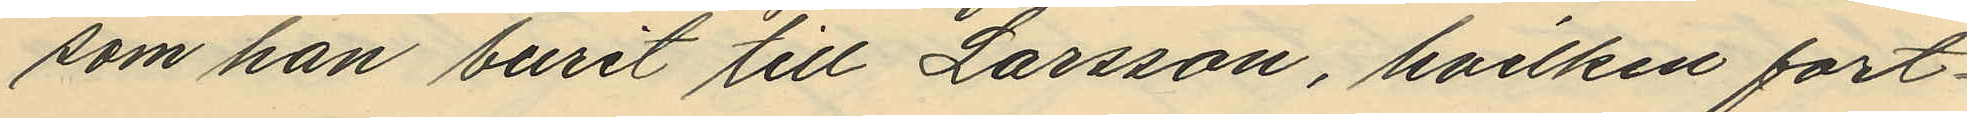som han burit till Larsson, hvilken fort¬
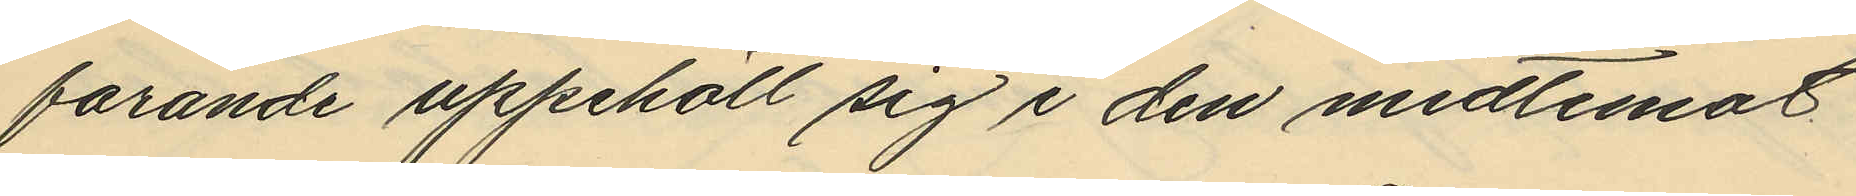farande uppehöll sig i den midtemot
